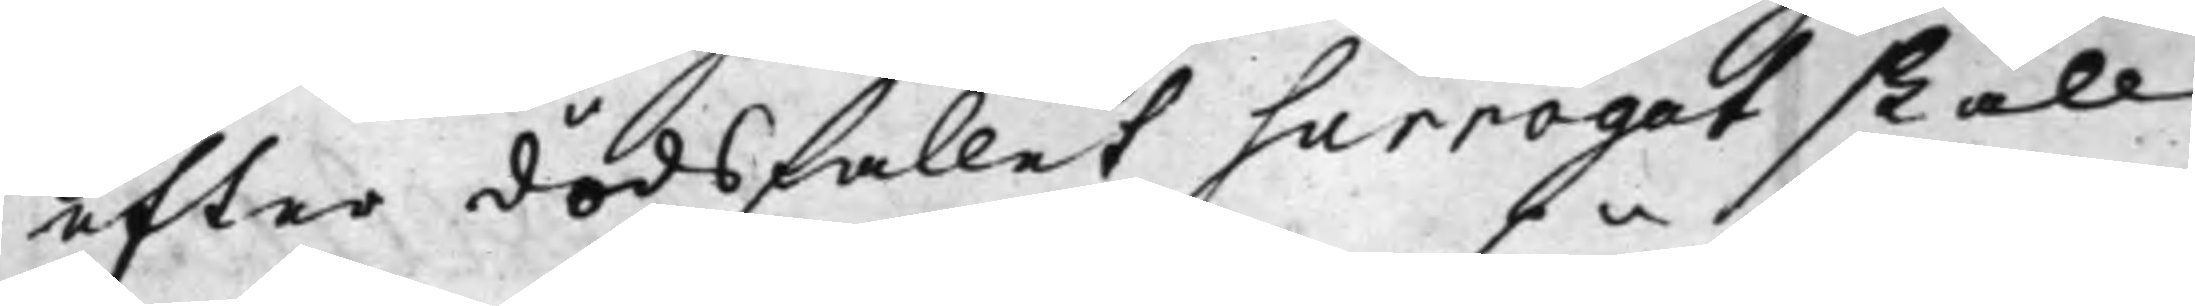efter dödsfallet surrogat skall
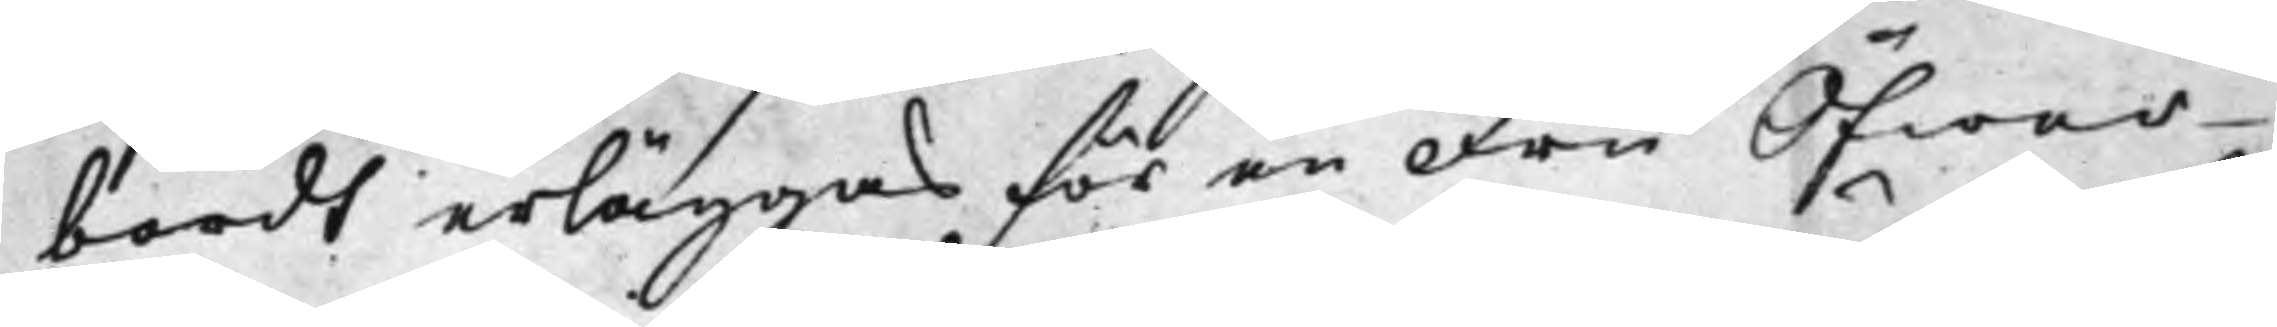bordt erläggas för en Fru Öfwer¬
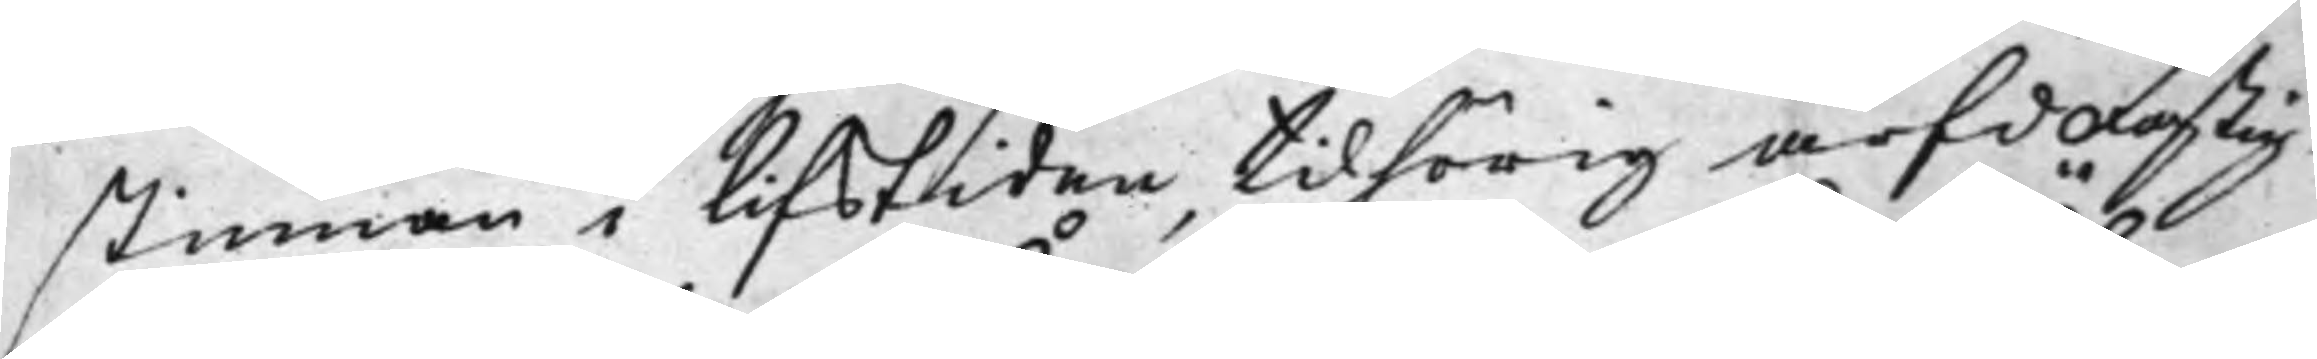stinnan i lifstiden tilhörig ärfd Fastig¬
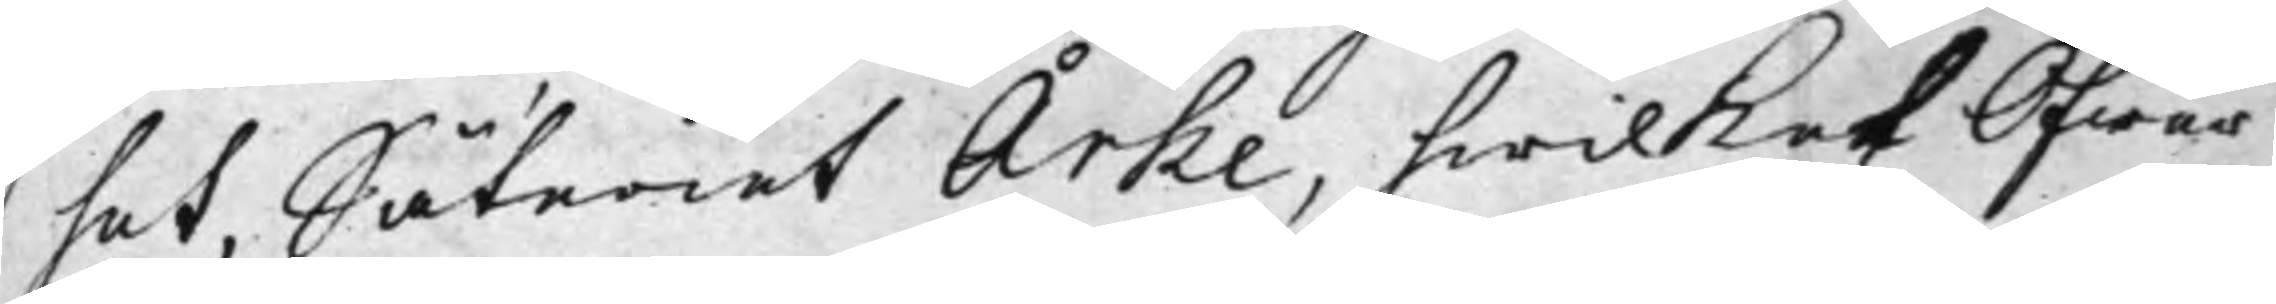het, Sätariet Årke, hwilket Öfwer¬
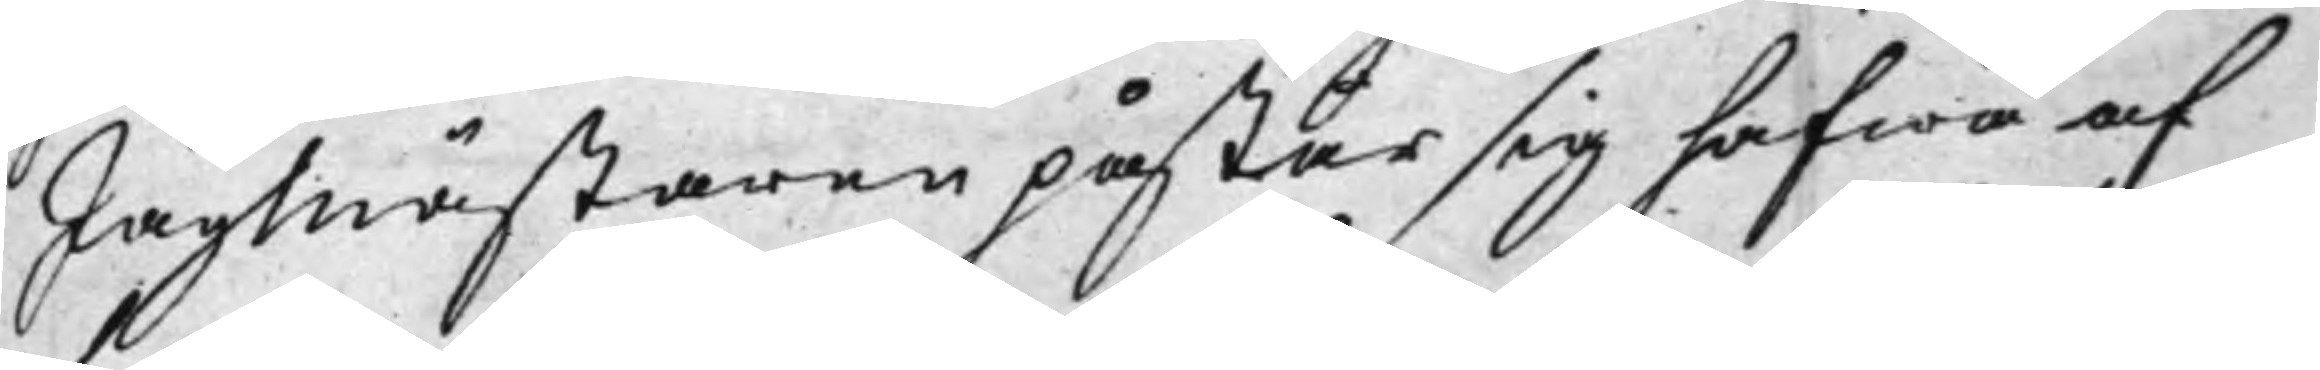Jägmästaren påstår sig hafwa af
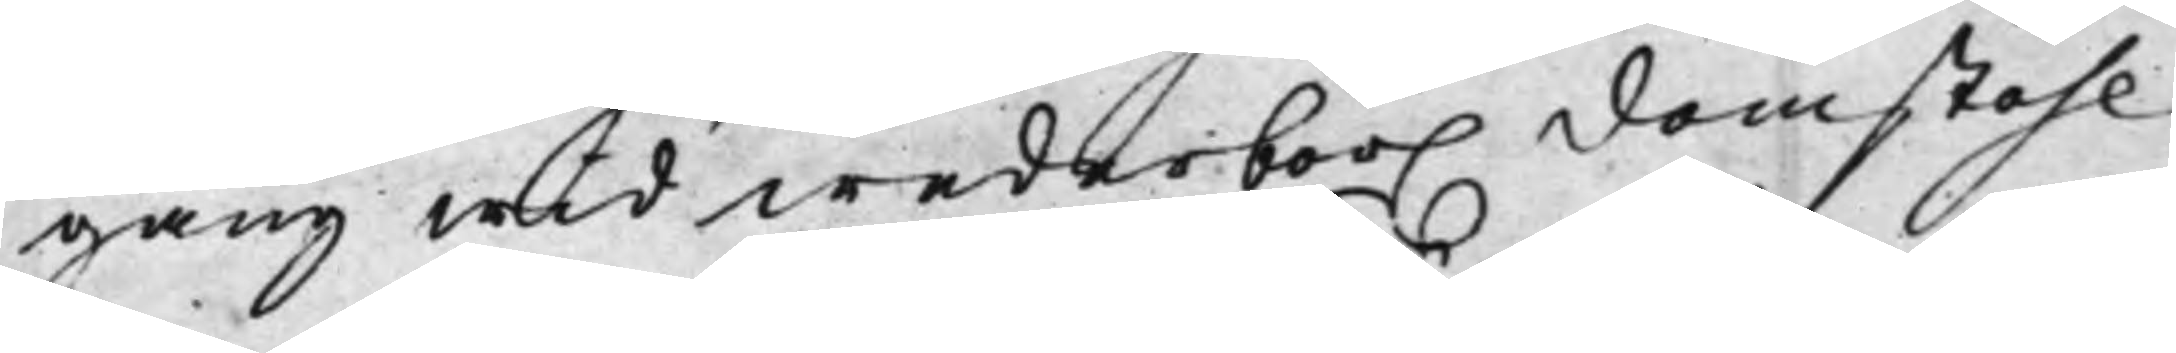gång wid wederbör. domstohl
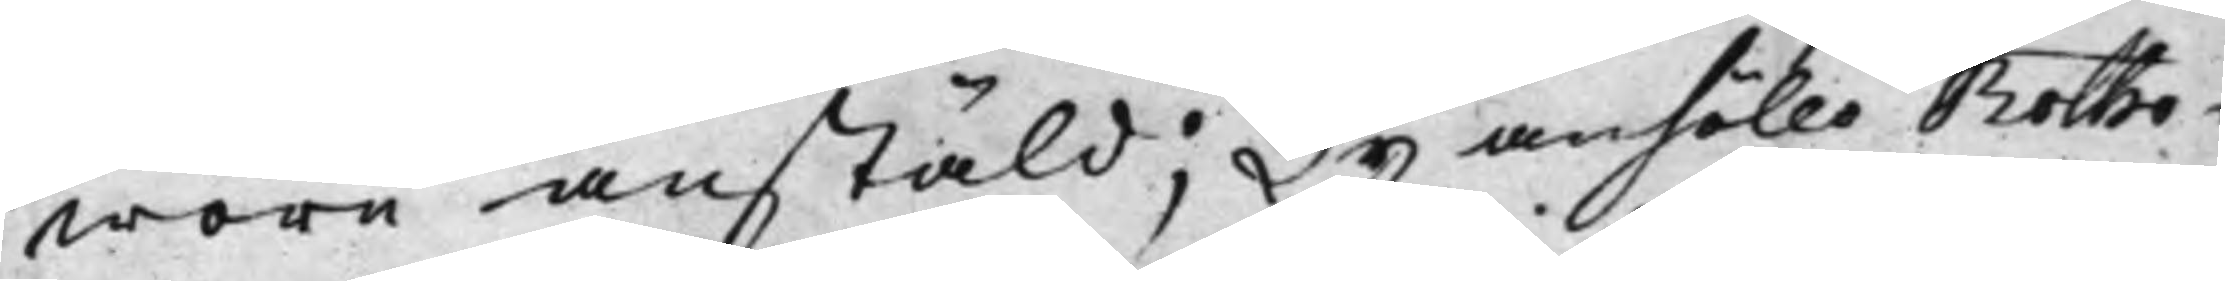wore anstäld; Ty anhöllo Rotho¬
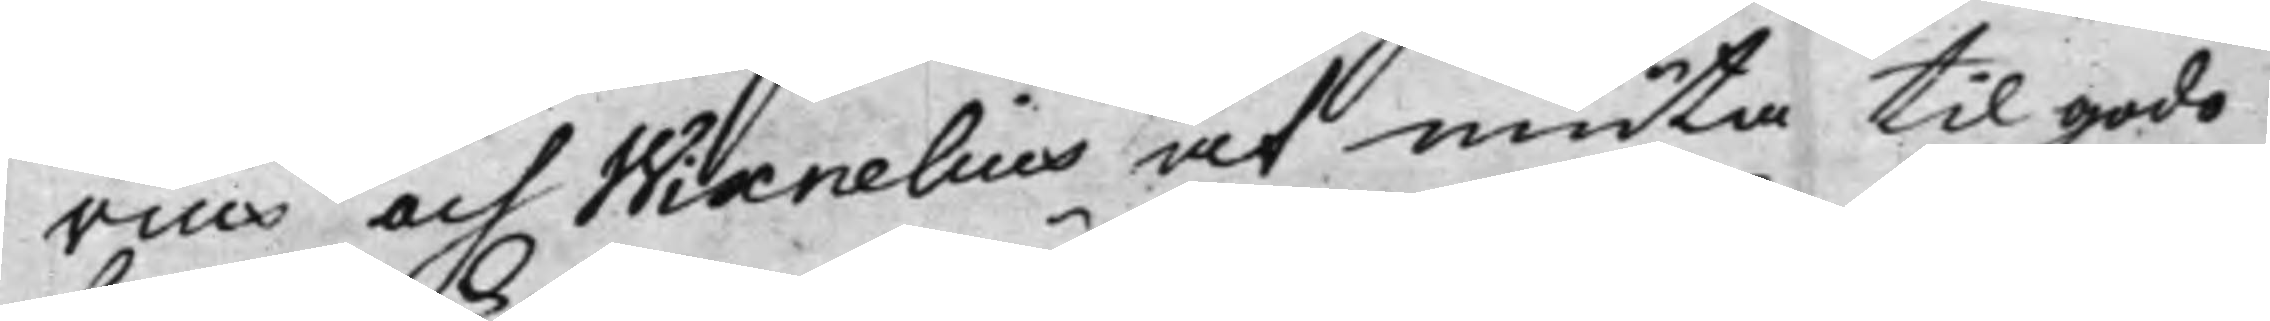vius och Wixnelius at niuta til godo
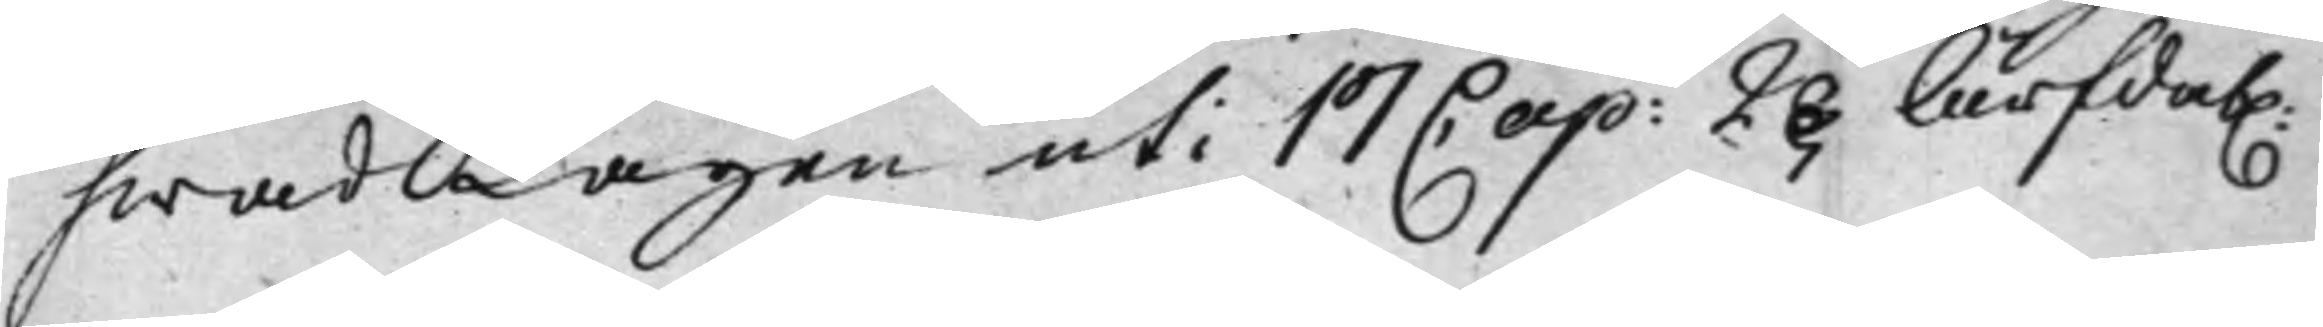hwad Lagen uti 17 Cap: 2§ Ärfdab.
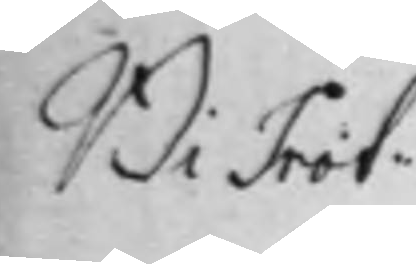Bi Prot:
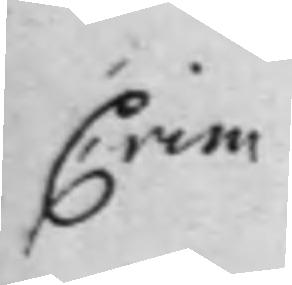Crim
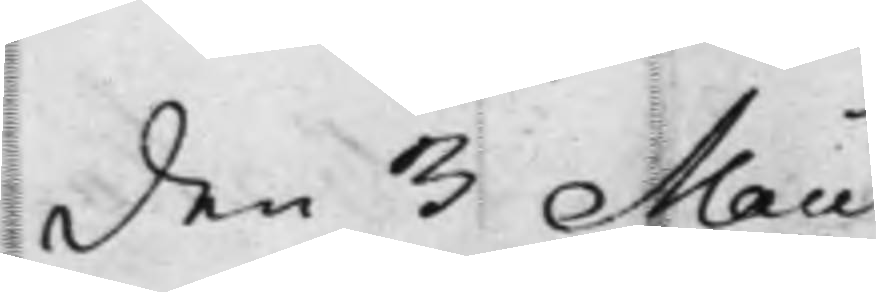den 3 Maii
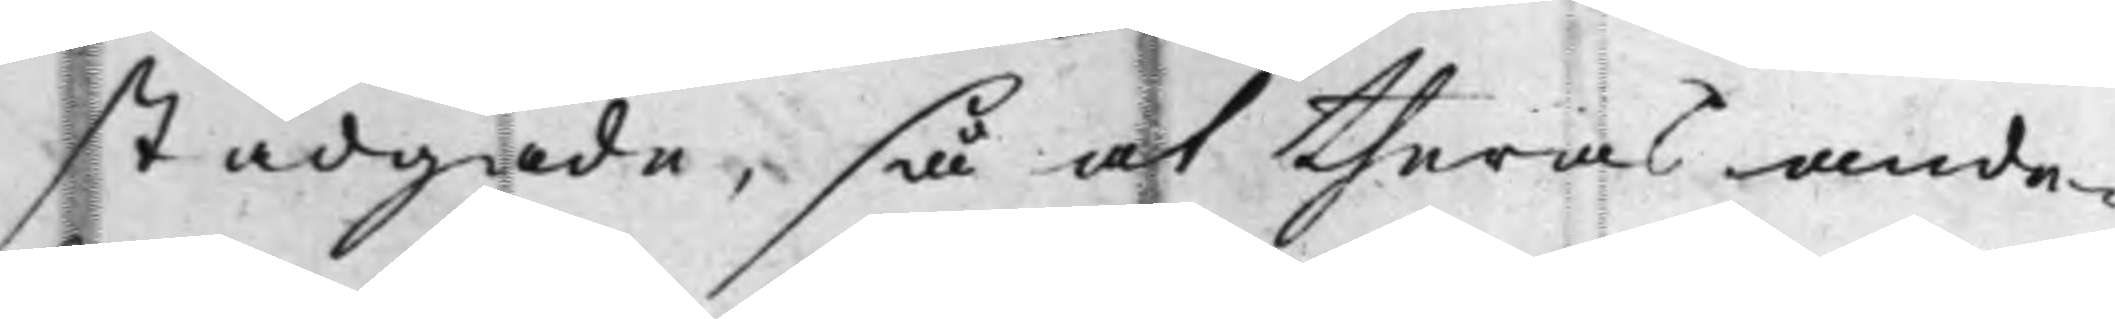stadgade, så at theras ande¬
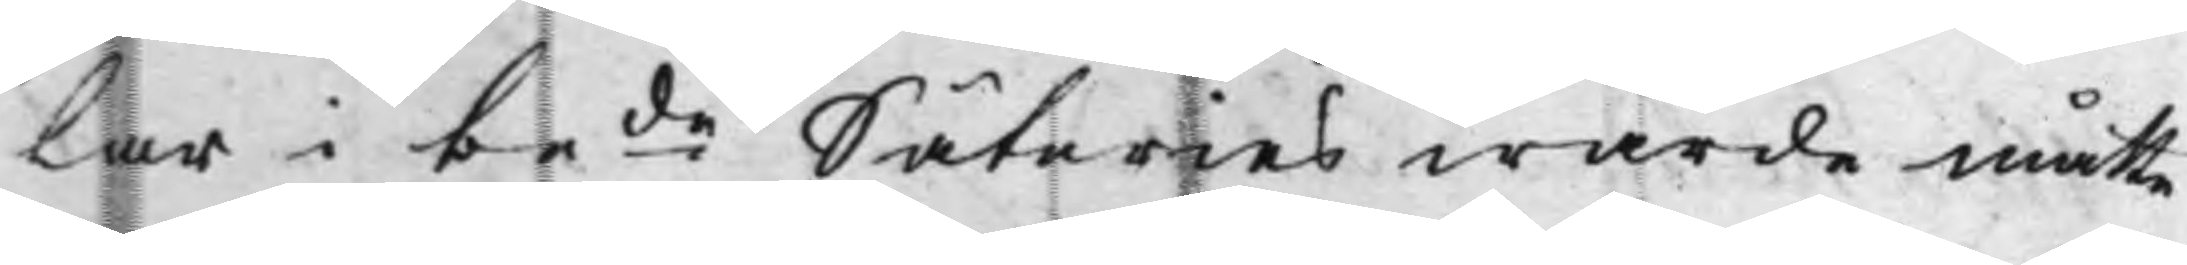lar i bede Säteries wärde måtte
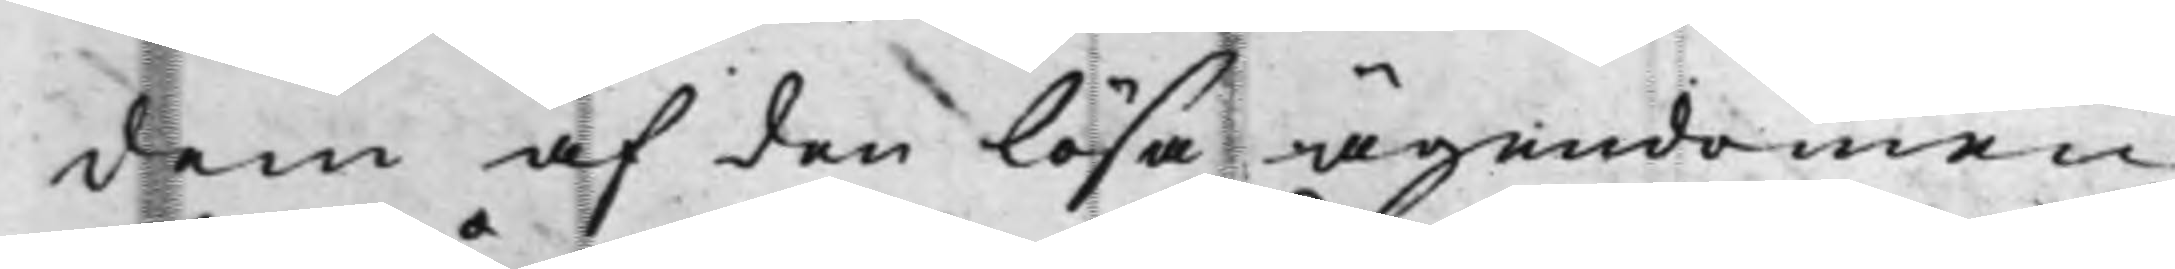dem af den lösa ägendomen,
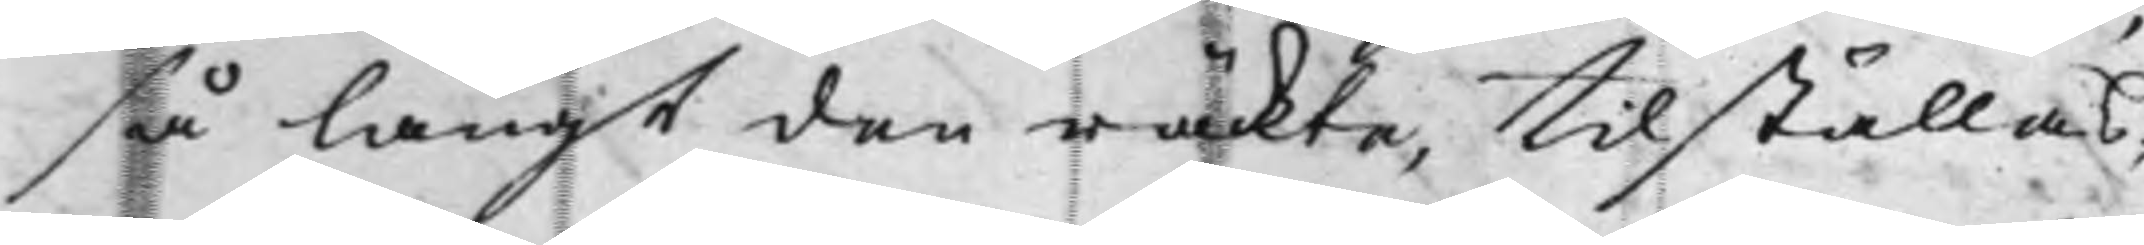så långt den räckte, tilställas;
